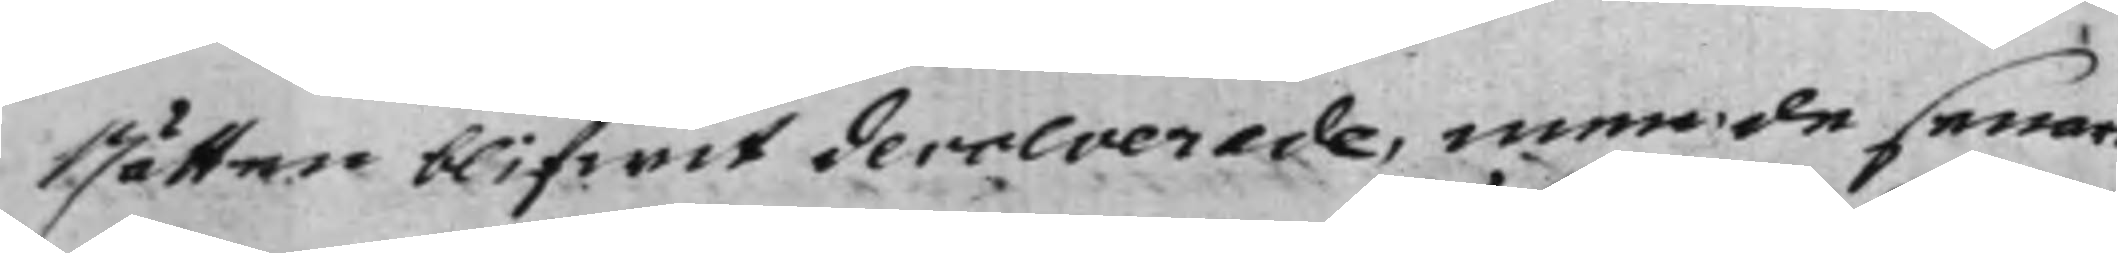Rätten blifwit devolverade, men de senar
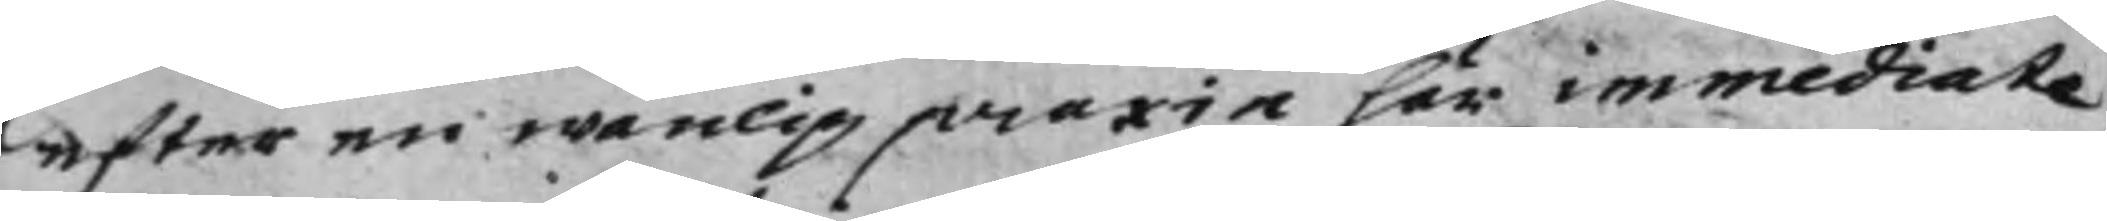efter en wanlig praxin här im mediate
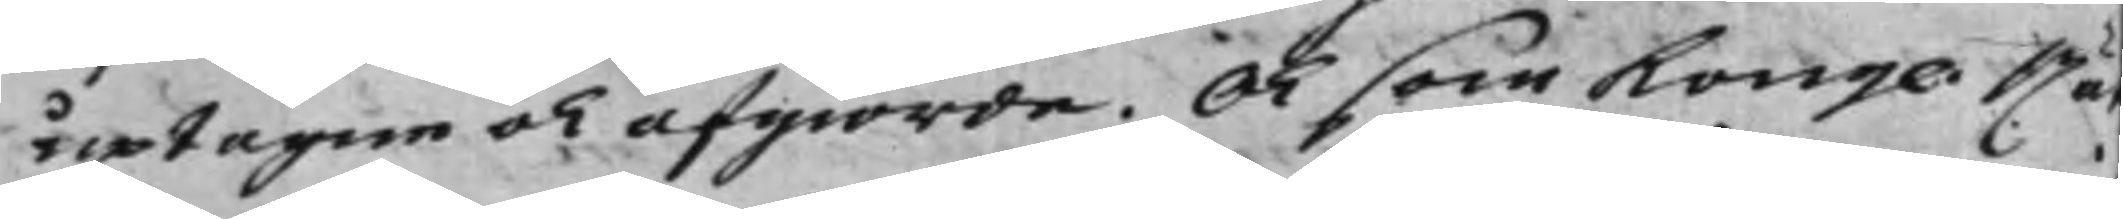uptagne och afgiorde. Och som Kongl. Rä
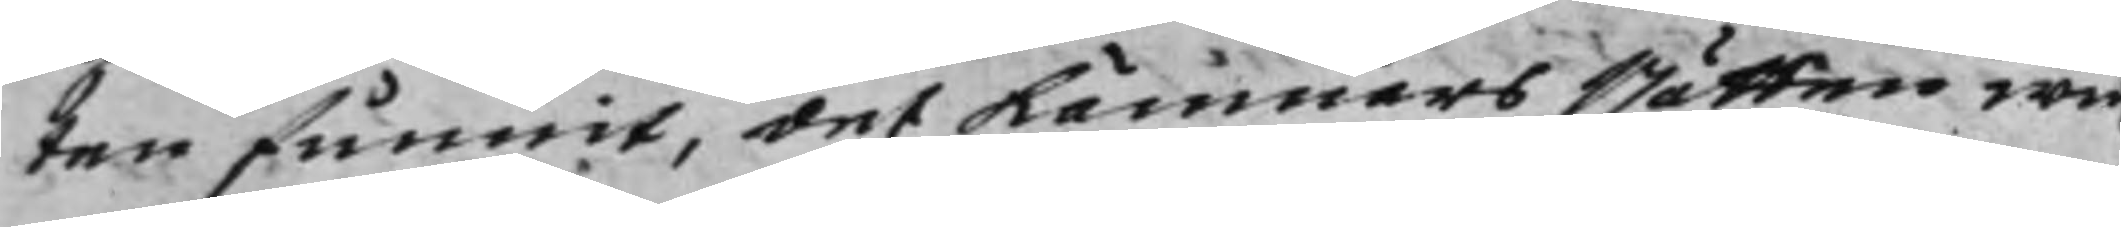ten funnit, det Kämnärs Rätten wi
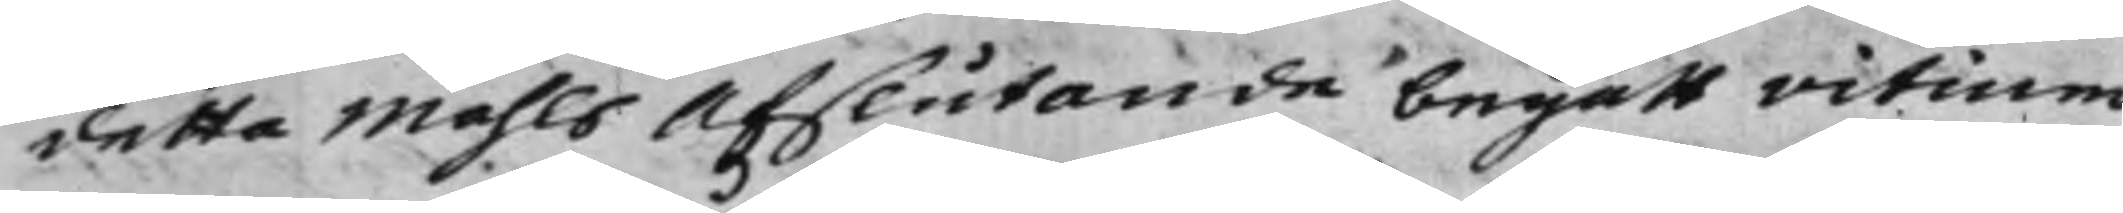detta Måhls Afslutande begått vitium
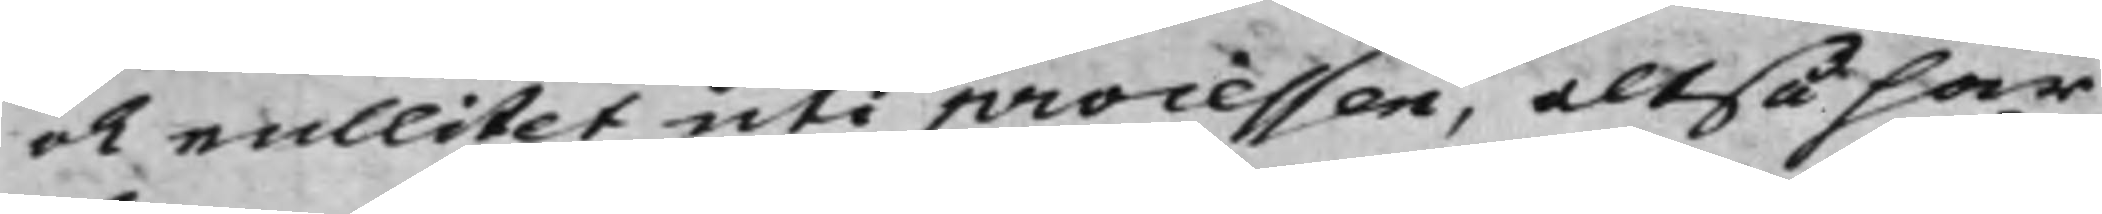och nullitet uti processen, altså har
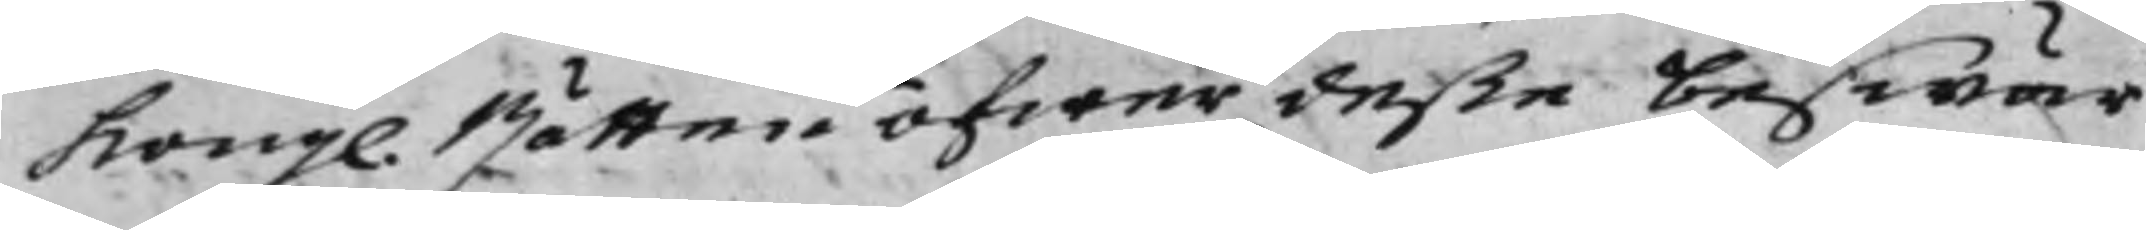Kongl. Rätten öfwer deße beswär
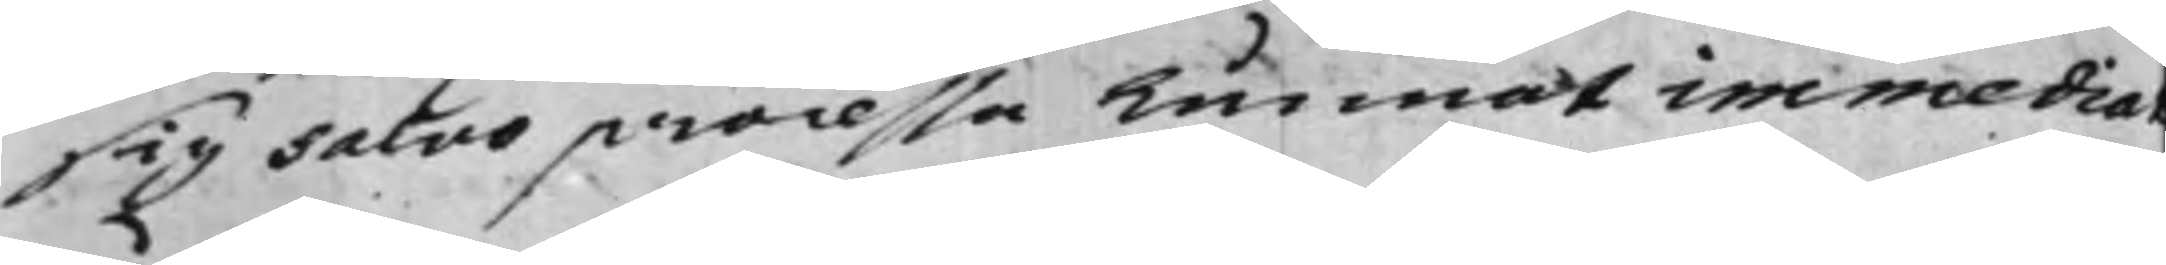sig salvo processa kunnat immedia
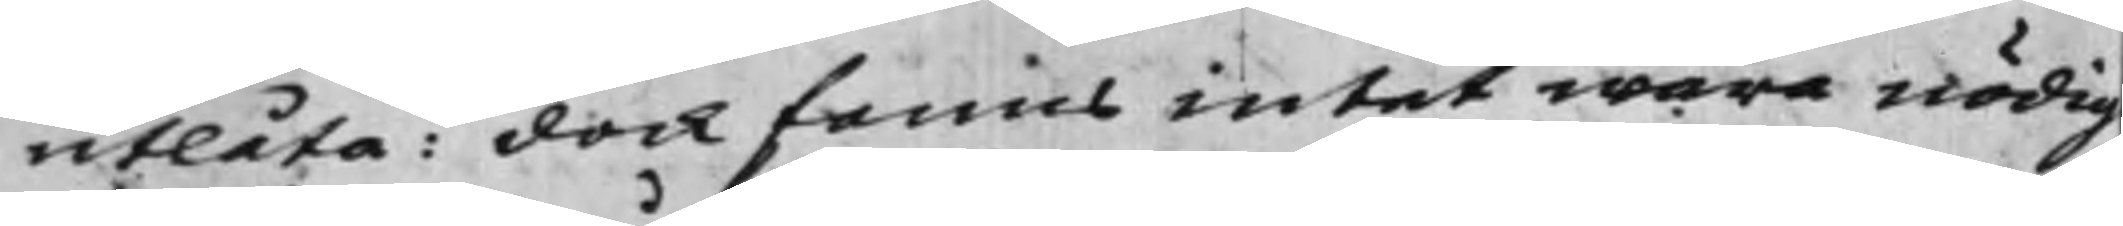utlåta: dock fanns intet wara nödig
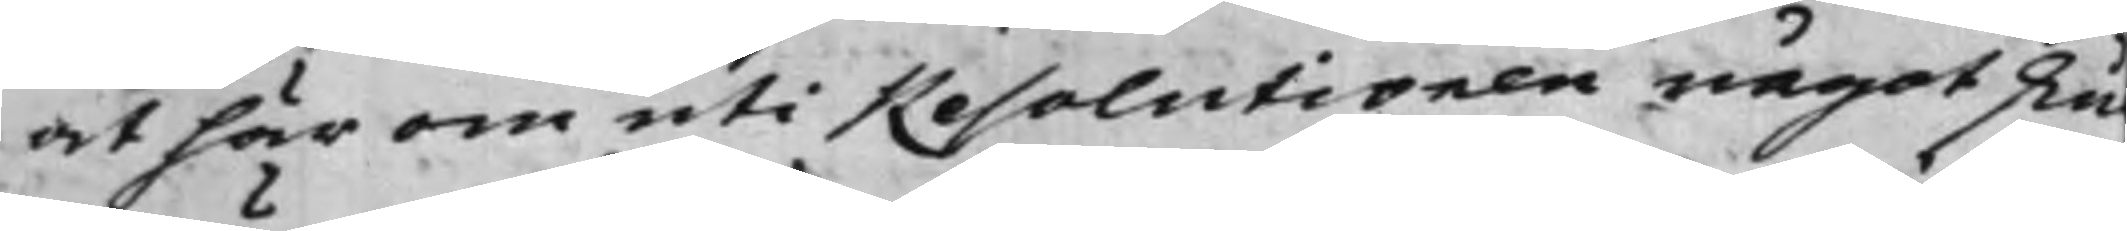at här om uti Resolutionen något sku
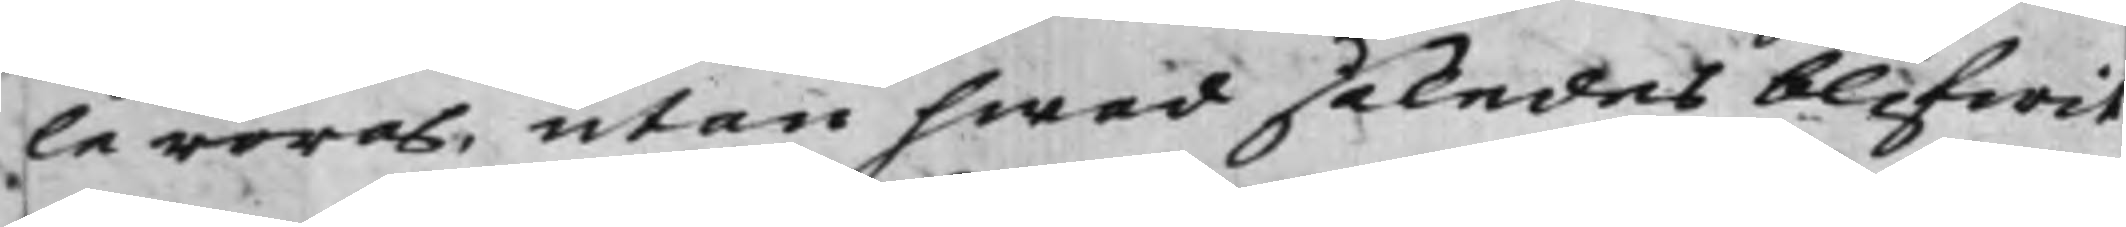le röras, utan hwad således blifwit
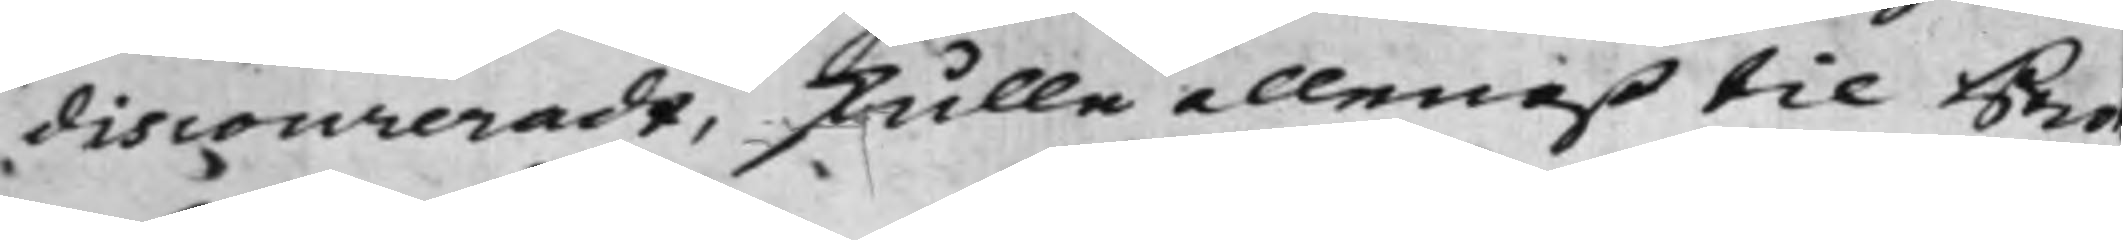discoureradt, skulle allenast til Pro
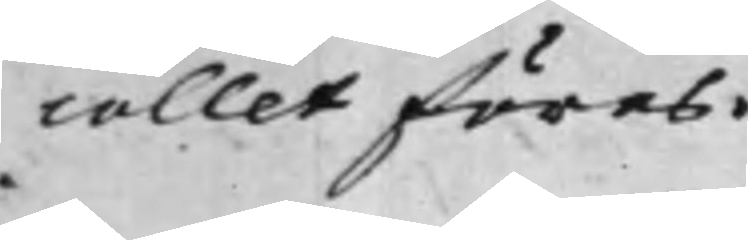collet föras.
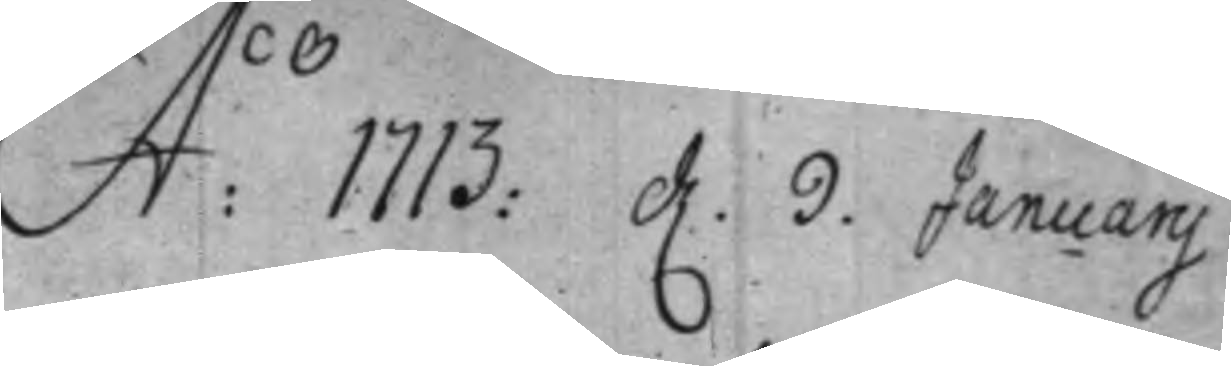A:o 1713: d. 9. Januarij.
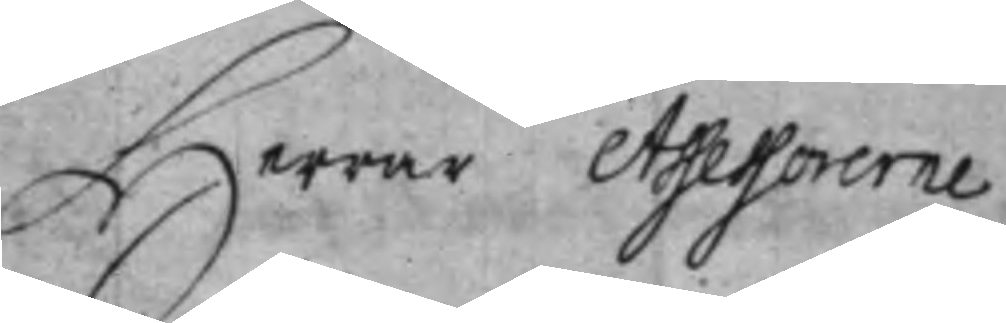Herrar Assessorerne
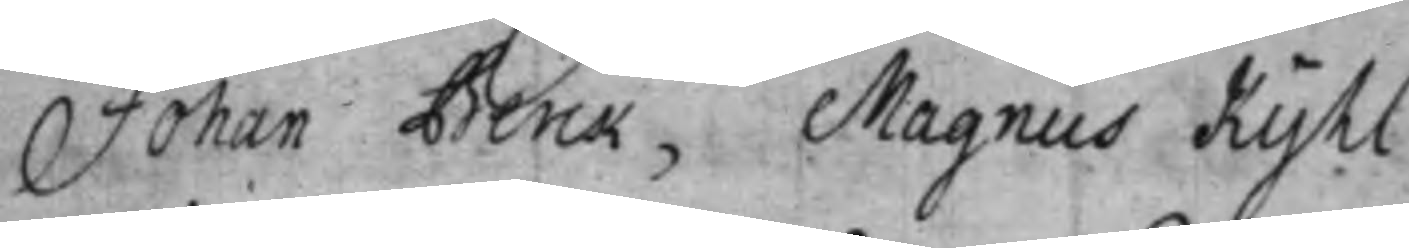Johan Berck, Magnus Kyhl.
